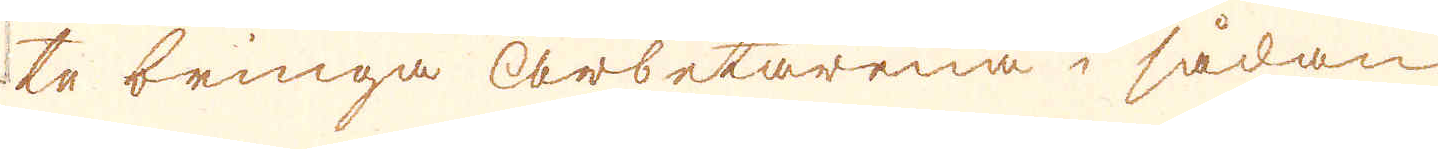te bringa arbetarena i sådan
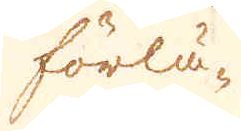förlä-
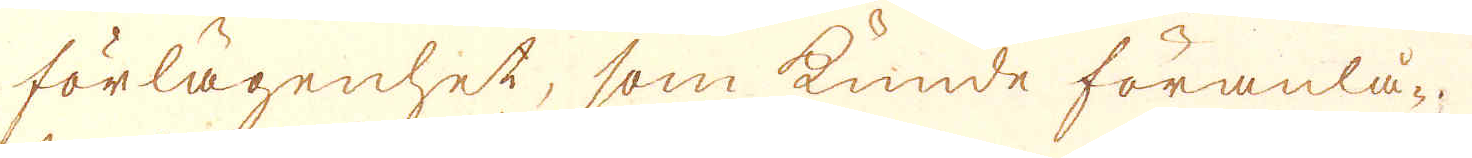förlägenhet, som kunde föranlå-
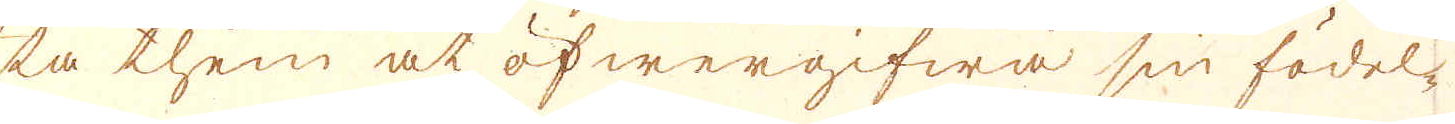ta them at öfwergifwa sin födel-
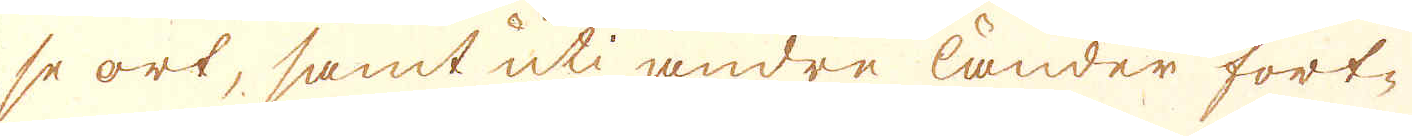se ort, samt uti andre länder fort-
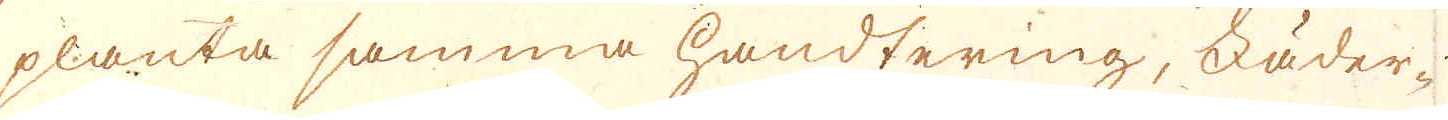planta samma handtering, Fäder-
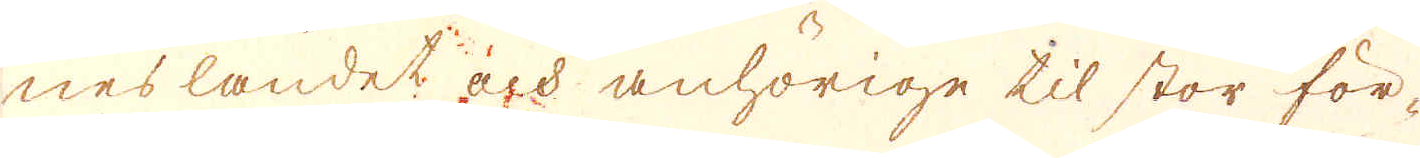nes landet och anhörige til stor för-
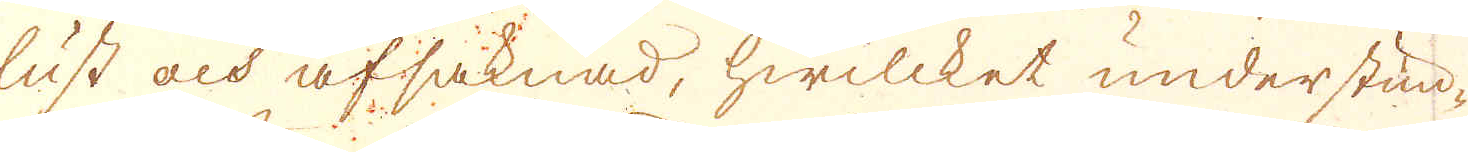lust och afsaknad, hwilcket understun-
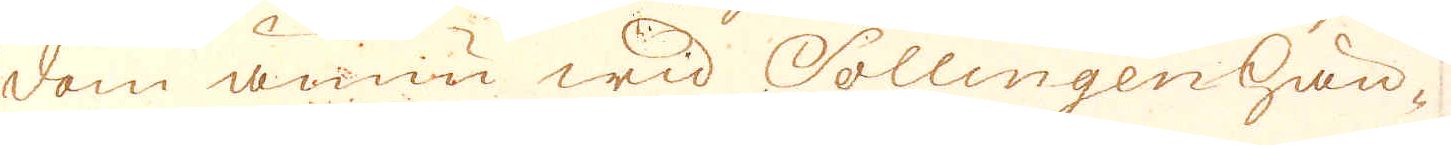dom ännnu wid Sollingen hän-
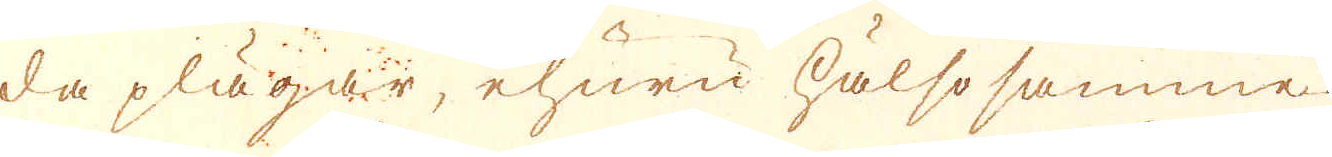da plägar, ehuru hälsosamme.
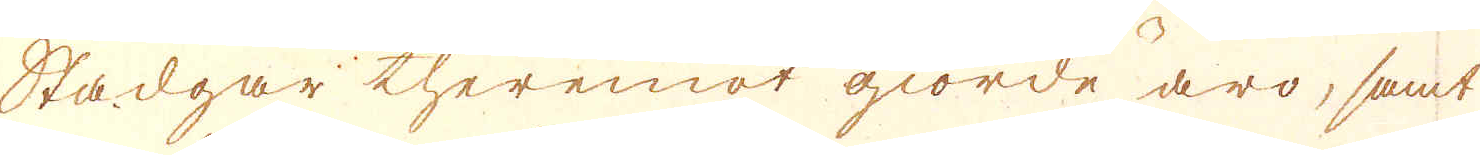Stadgar theremot giorde äro, samt
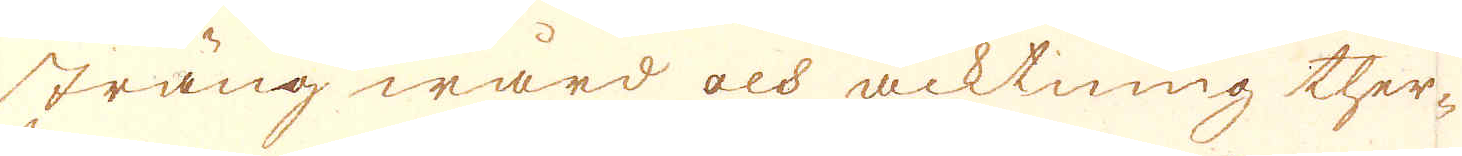sträng wård och acktning ther-
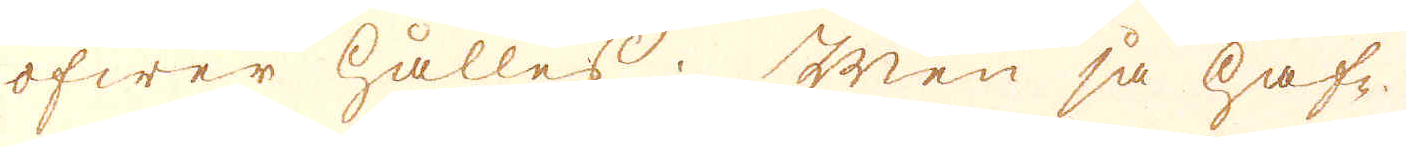öfwer hålles; Men så haf-
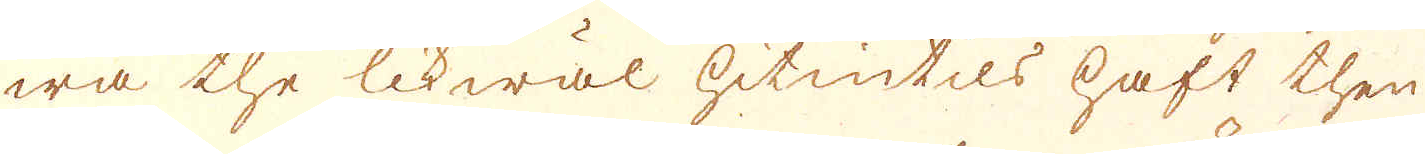wa the likwäl hitintils haft then
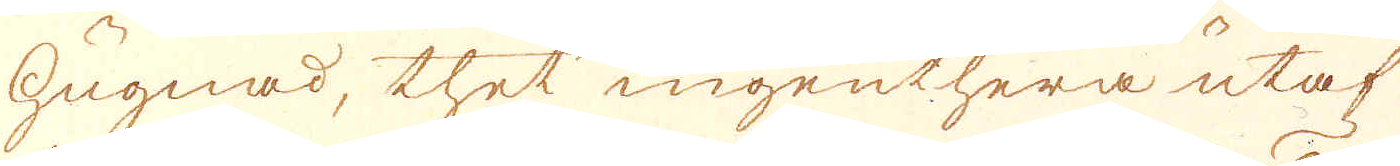hugnad, thet ingenthera utaf
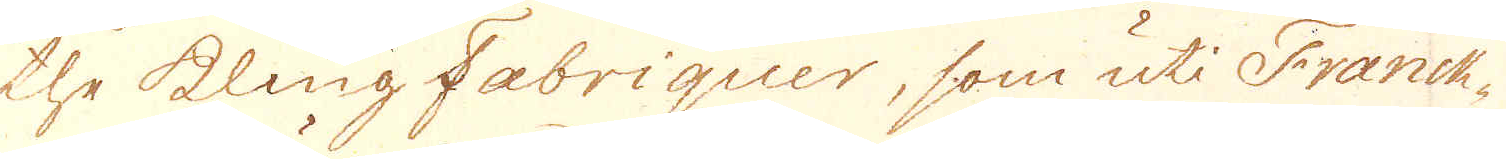the kling Fabriquer, som uti Franck-
